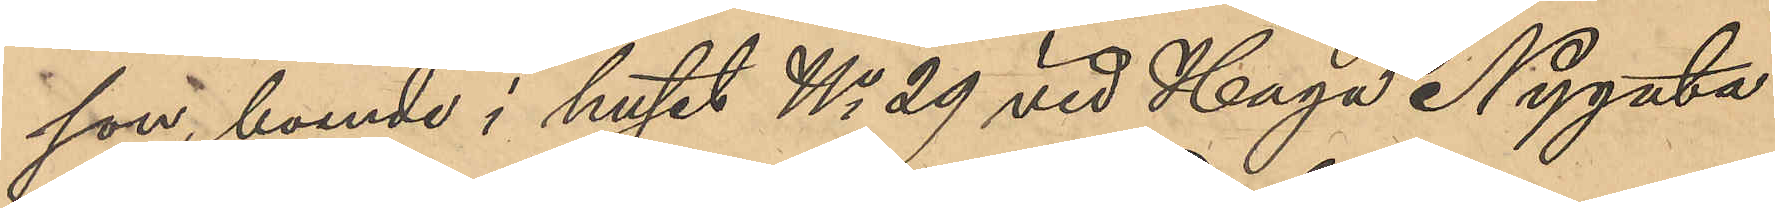son, boende i huset No 29 vid Haga Nygata:
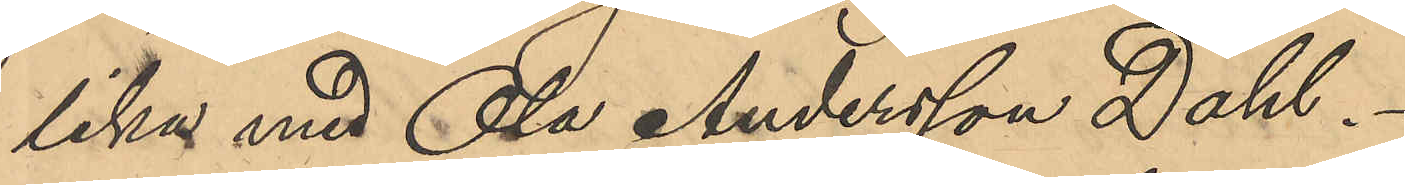lika med Ola Andersson Dahl.
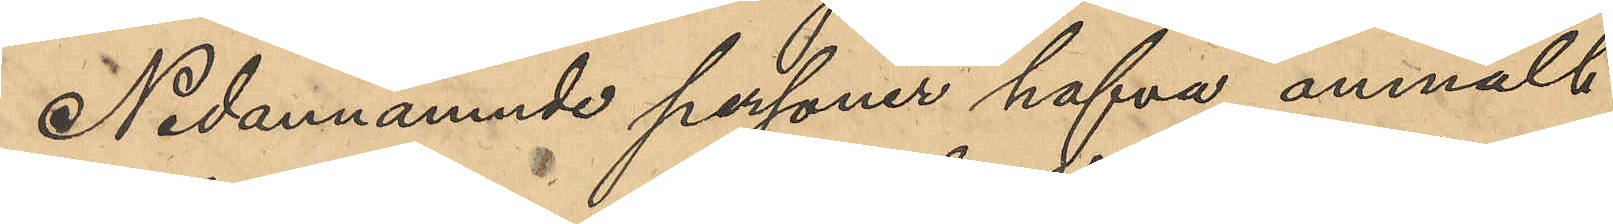Nedanämnde personer hafva anmält
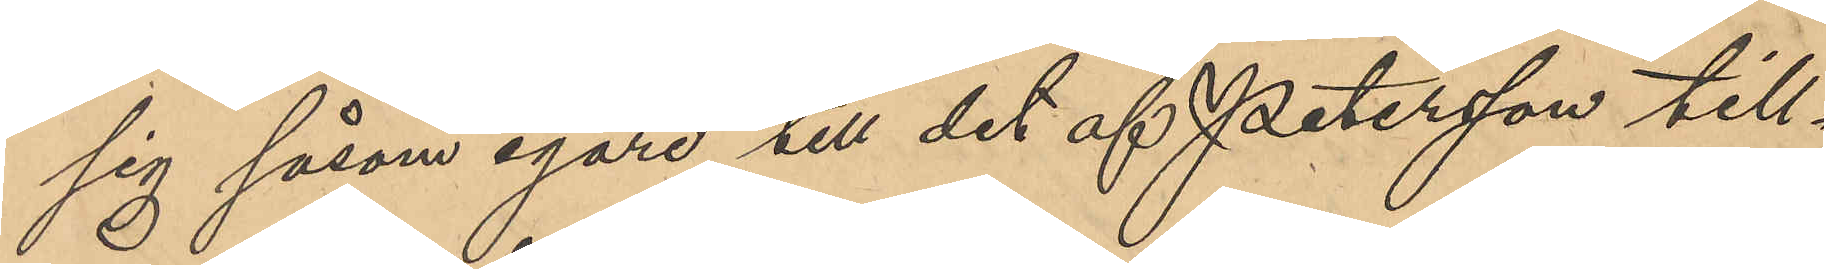sig såsom egare till det af Petersson till¬
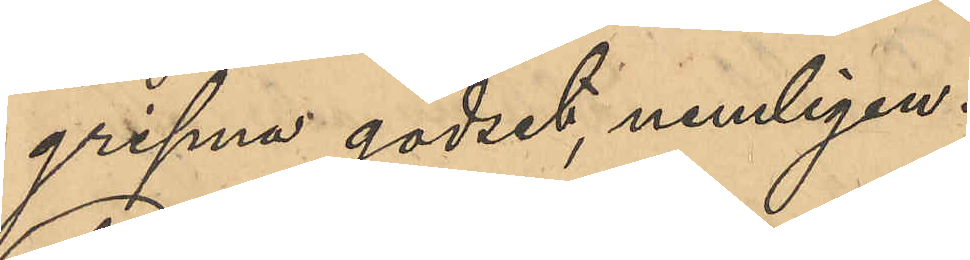gripne godset, nemligen:
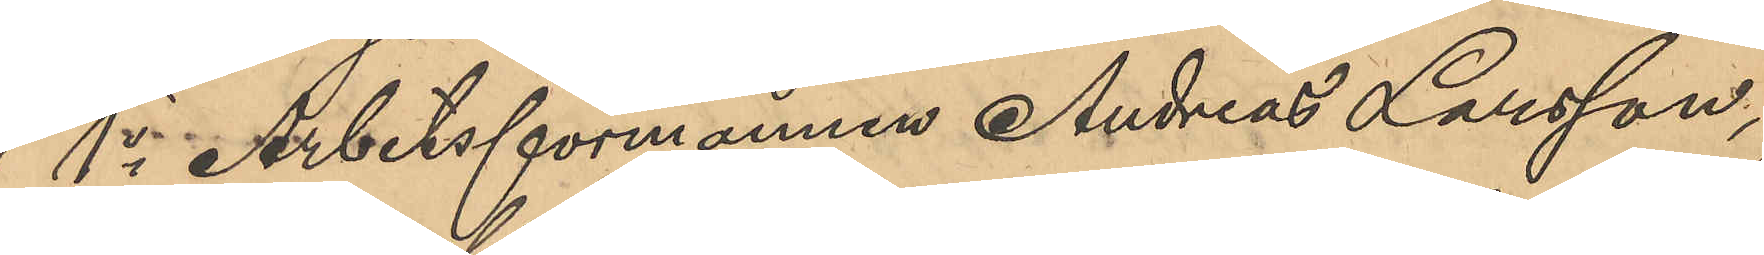1o Arbetsförmannen Andreas Larsson,
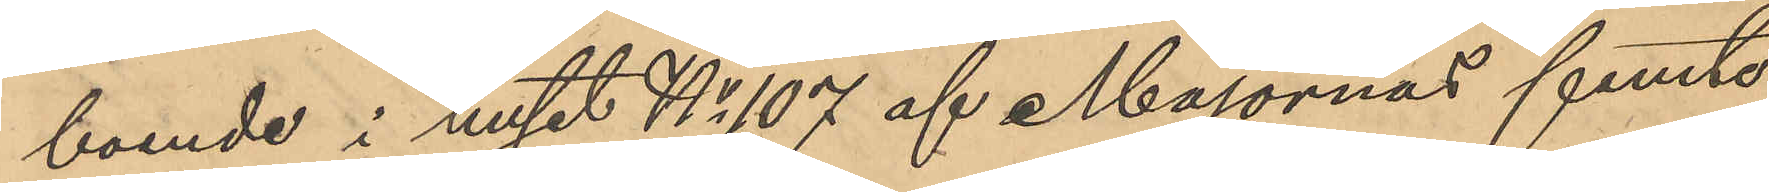boende i huset No 107 af Majornas femte
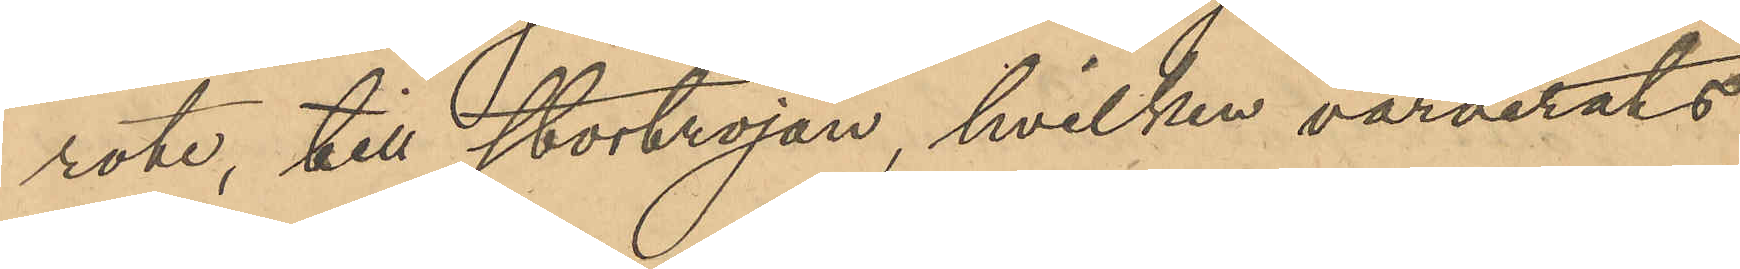rote, till stortröjan, hvilken värderats
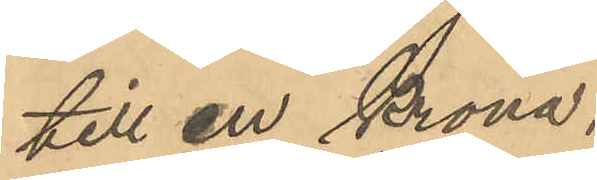till en krona;
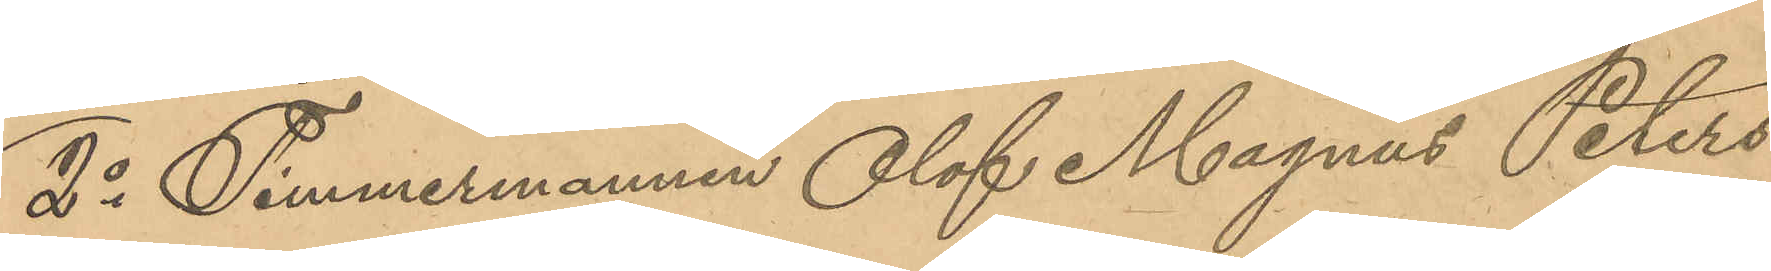2o Timmermannen Olof Magnus Peters¬
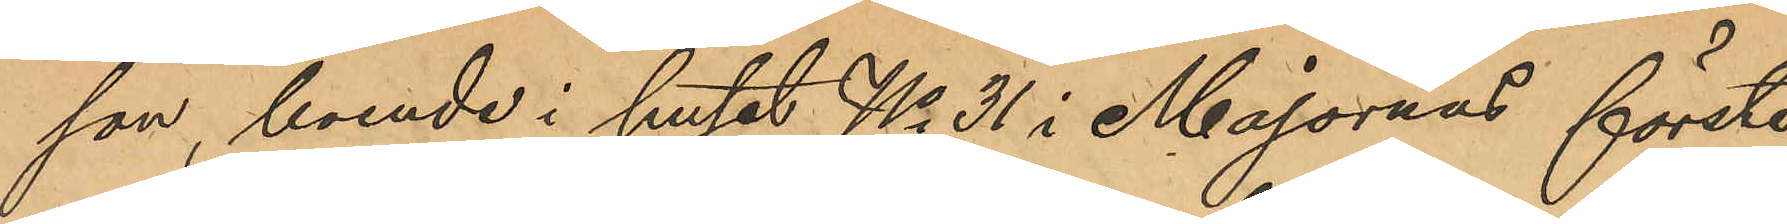son, boende i huset No 31 i Majornas förste
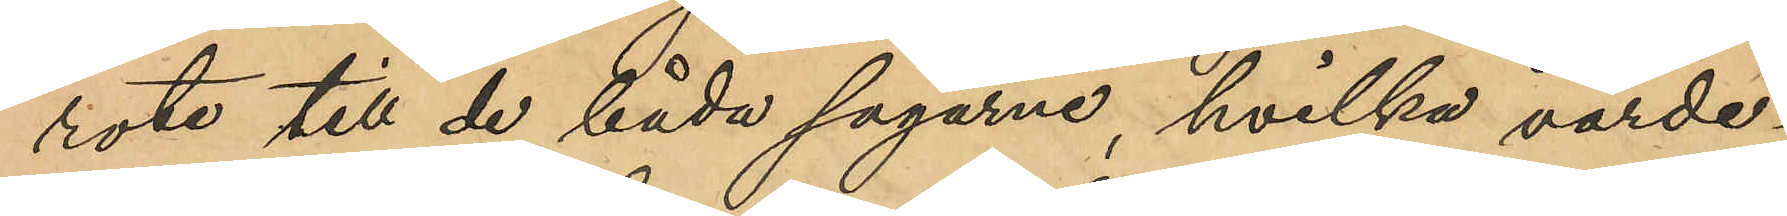rote till de båda sågarne, hvilka värde¬
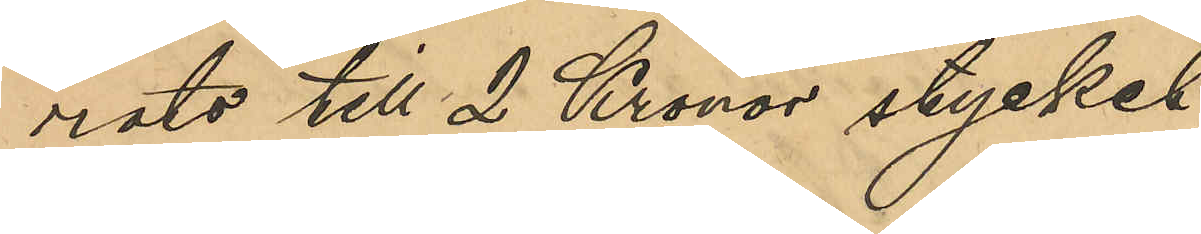rats till 2 Kronor stycket;
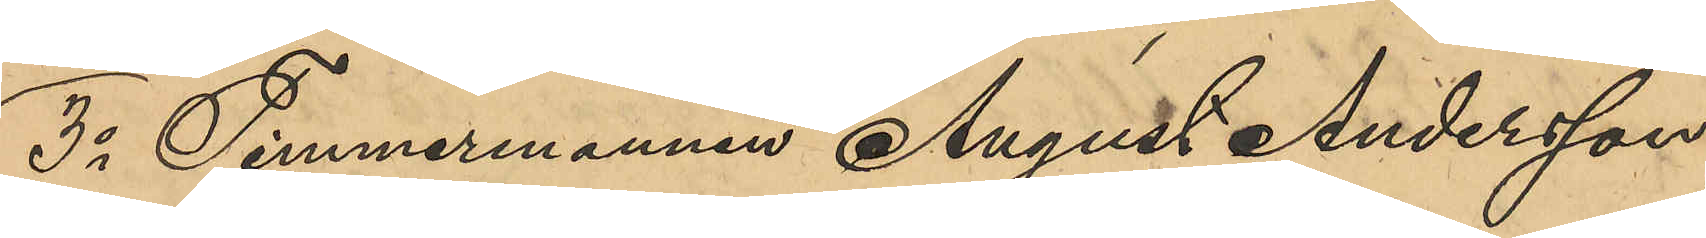3o Timmermannen August Andersson
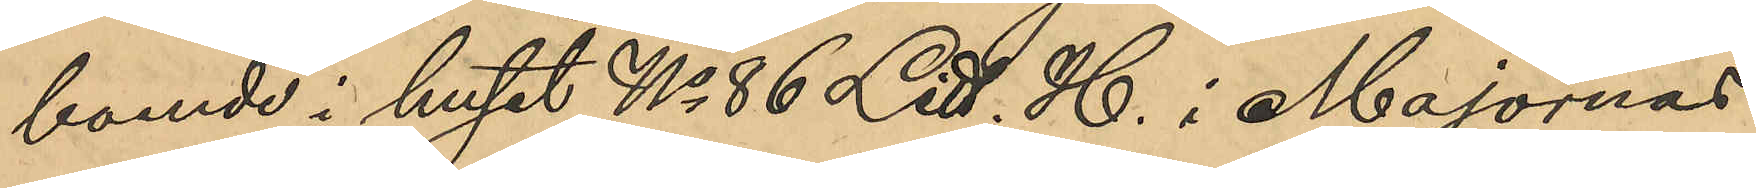boende i huset No 86 Litt. H. i Majornas
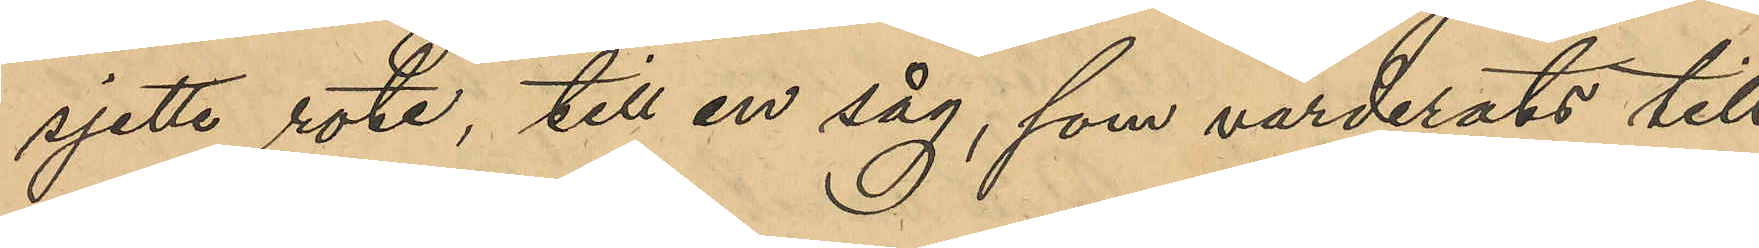sjette rote, till en såg, som värderats till
